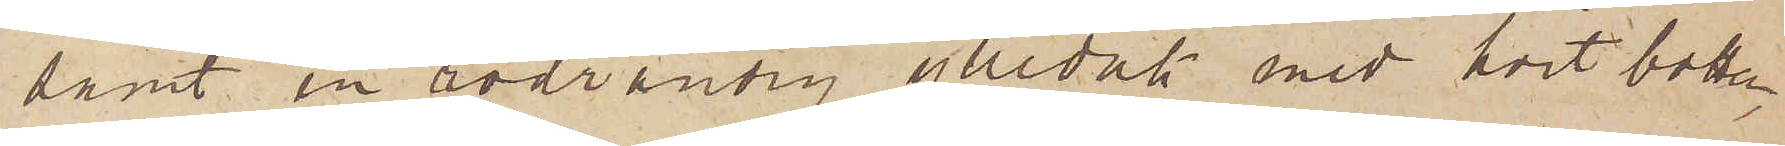samt en rödrandig ylleduk med hvit botten,
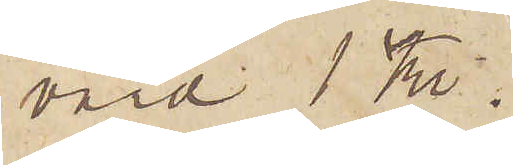värd 1 Kr.
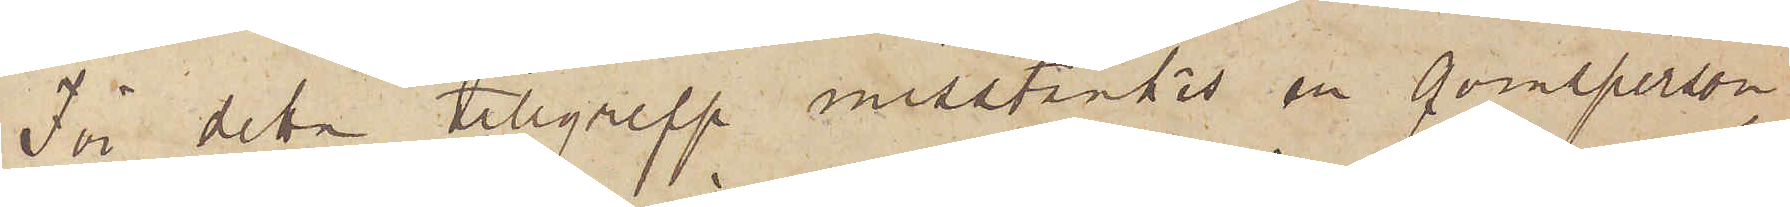För detta tillgrepp misstänkes en qvinsperson,
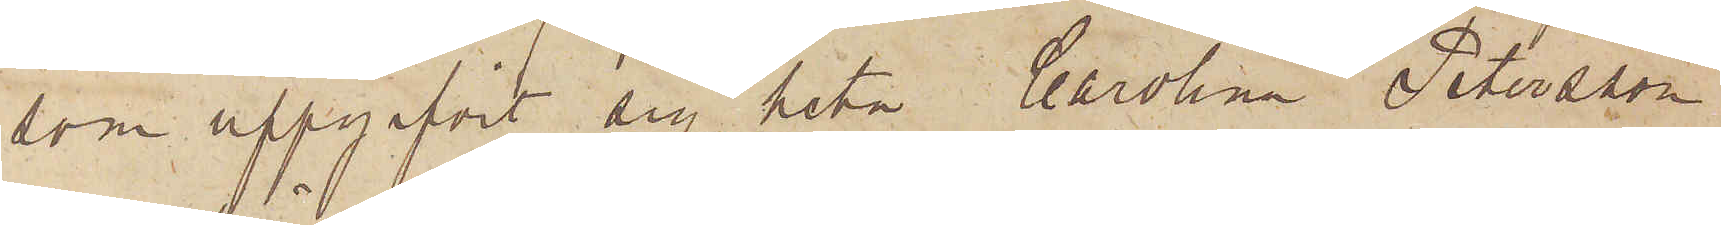som uppgifvit sig heta Carolina Petersson
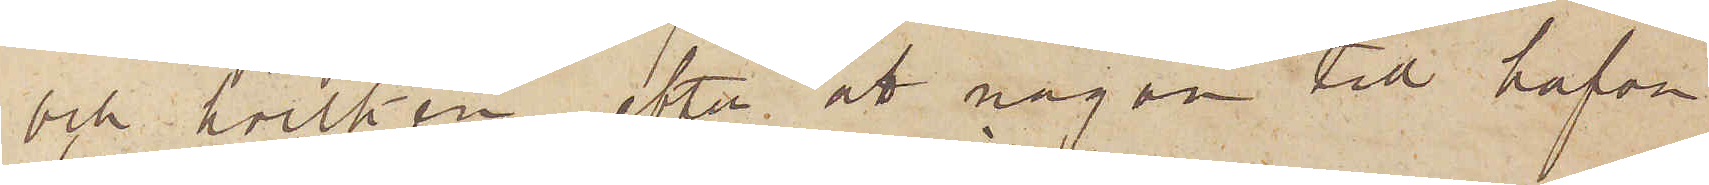och hvilken, efter att någon tid hafva
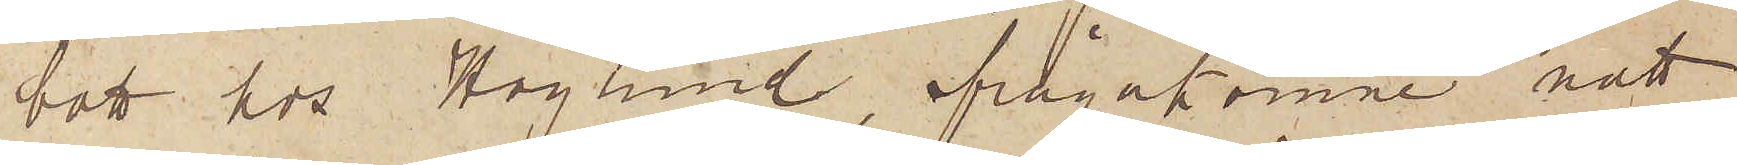bott hos Höglund, ifrågakomne natt
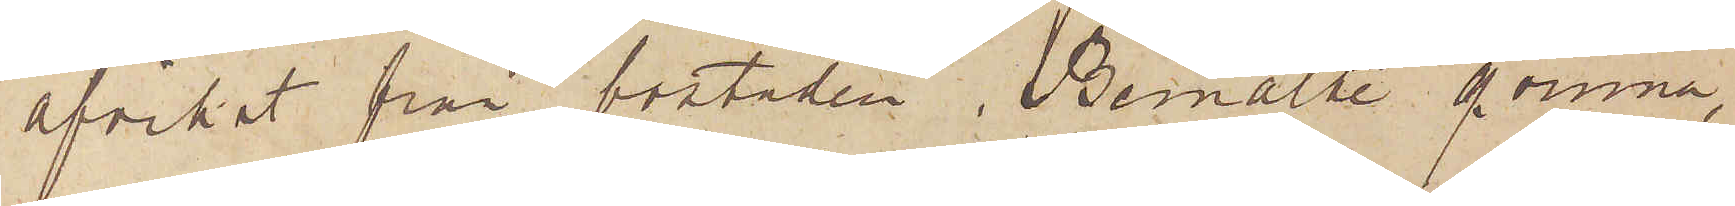afvikit från bostaden. Bemälte qvinna,
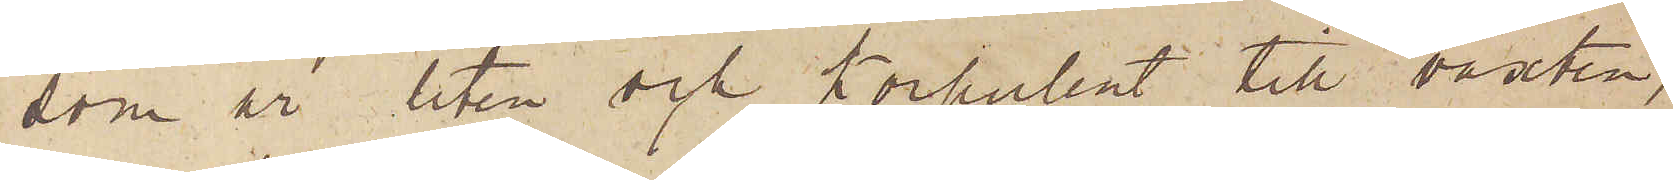som är liten och korpulent till växten,
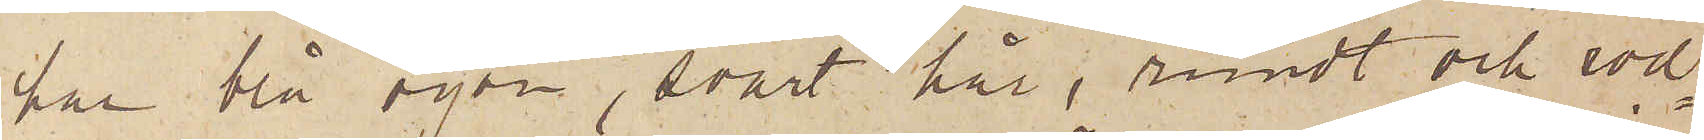har blå ögon, svart hår, rundt och röd¬
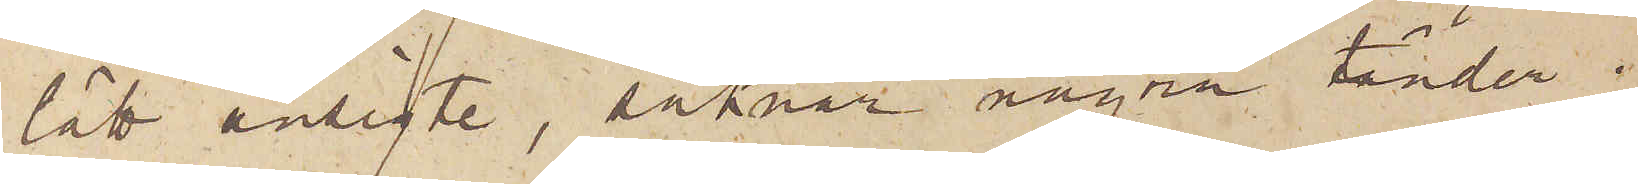lätt ansigte, saknar några tänder i
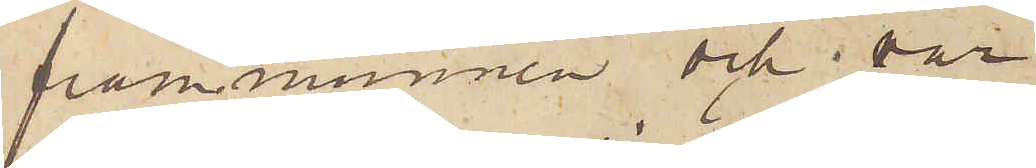frammunnen och i var
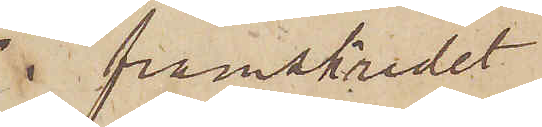i framskridet
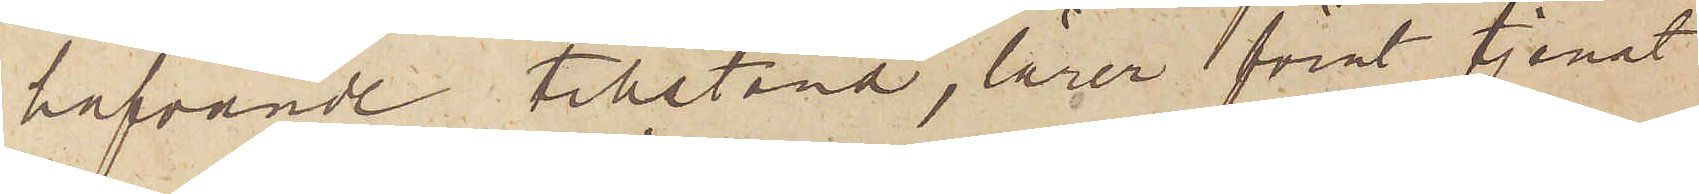hafvande tillstånd, lärer förut tjenat
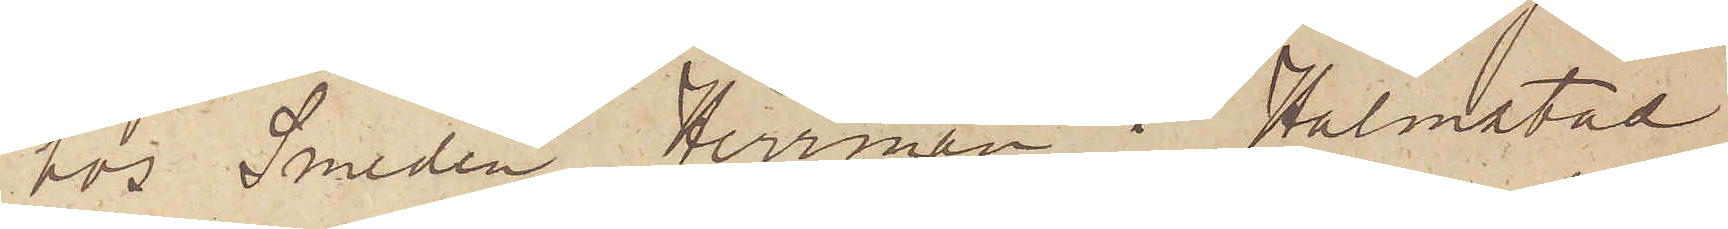hos Smeden Herrman i Halmstad
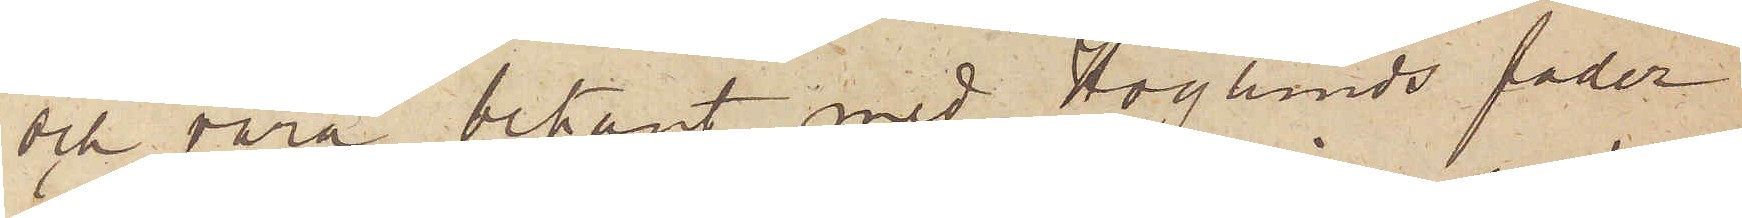och vara bekant med Höglunds fader
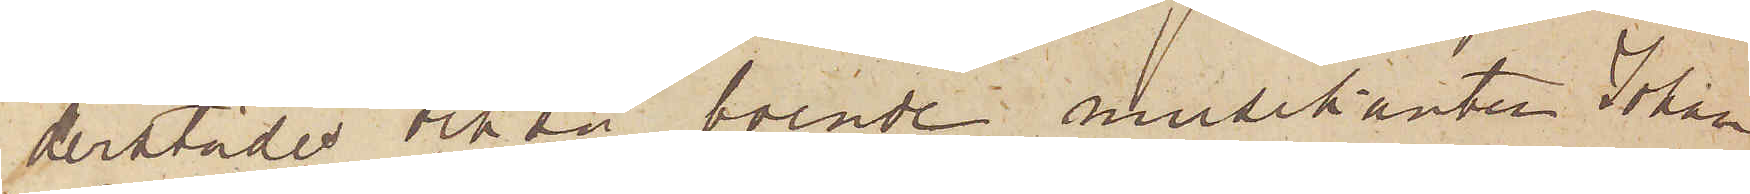derstädes också boende musikanten Johan
